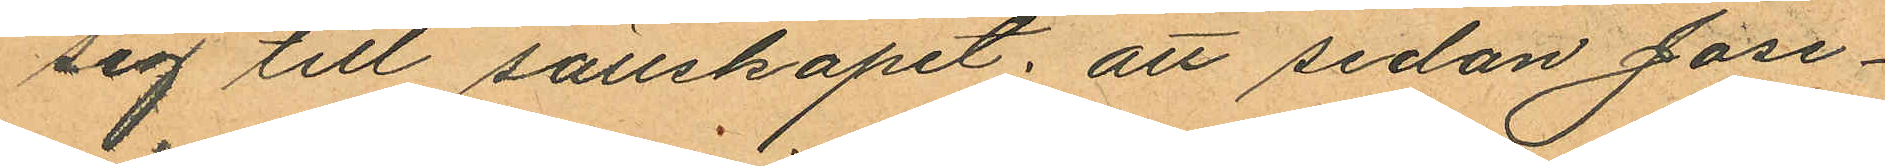sig till sällskapet; att sedan Jose¬
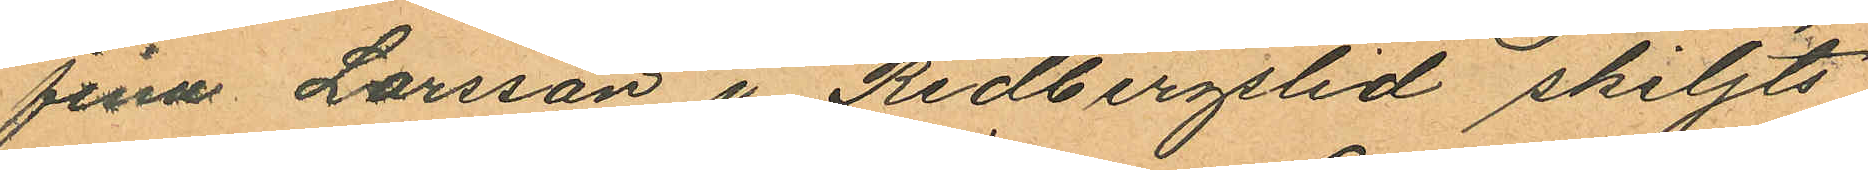fina Larsson i Redbergslid skiljts
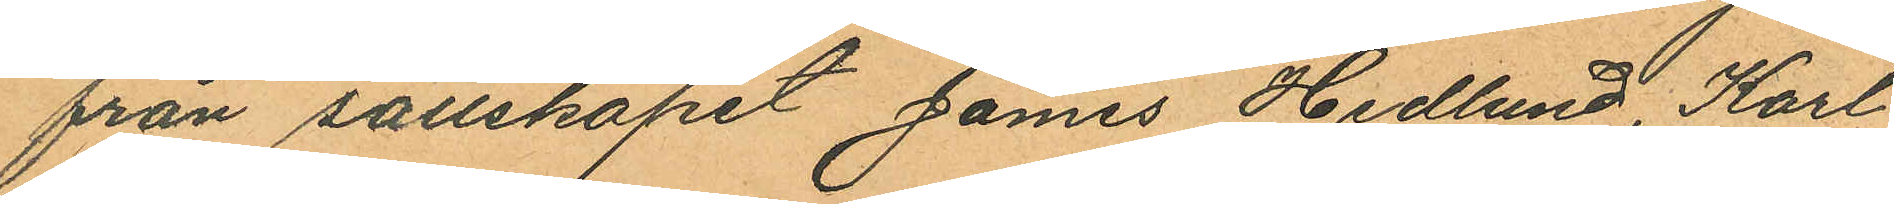från sällskapet James Hedlund, Karl
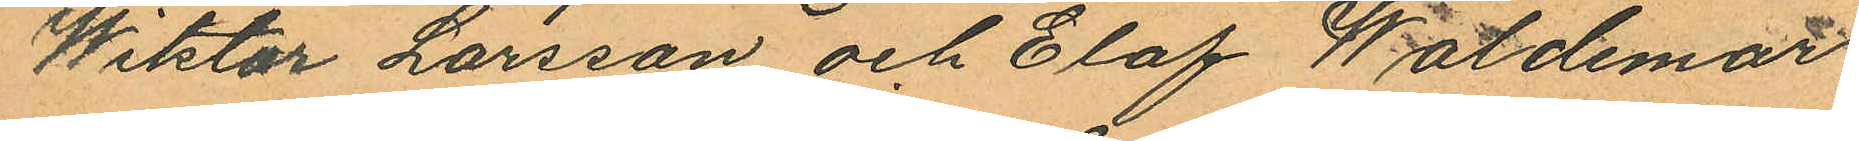Wiktor Larsson och Elof Waldemar
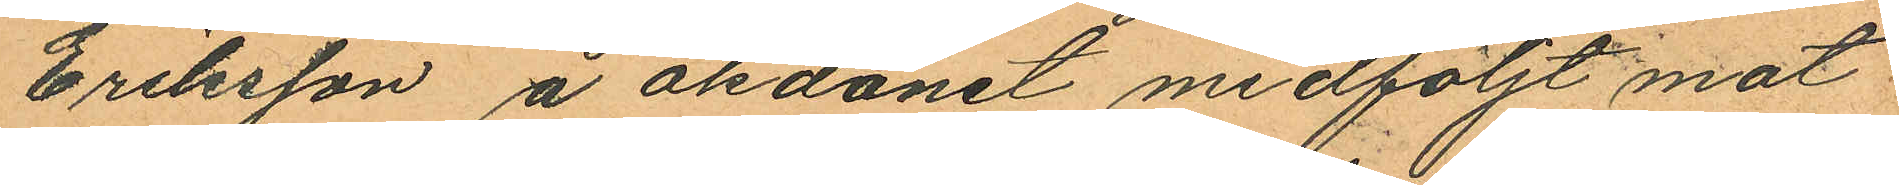Eriksson å åkdonet medföljt mot
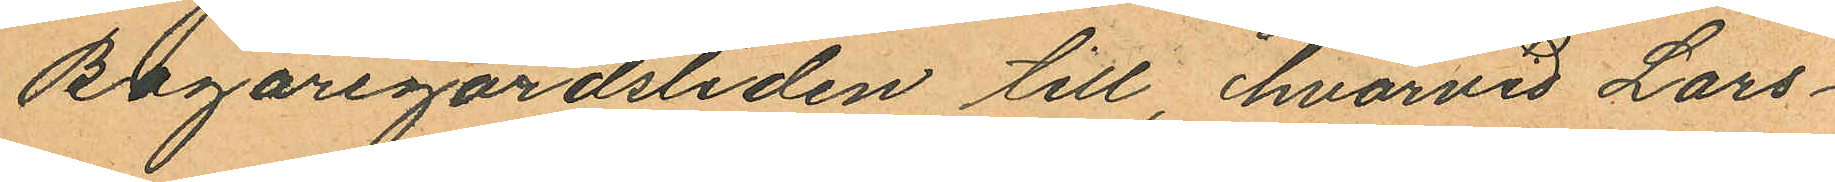Bagaregårdsliden till, hvarvid Lars¬
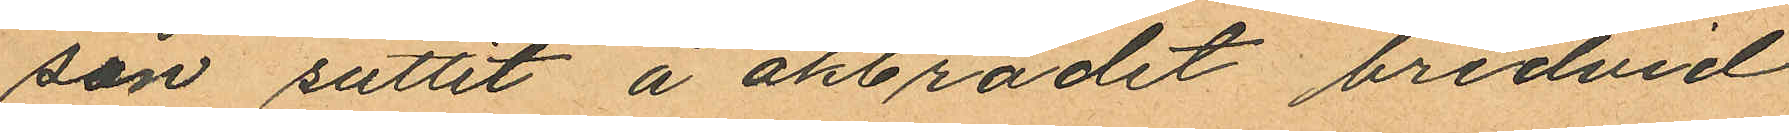son suttit å åkbrädet bredvid
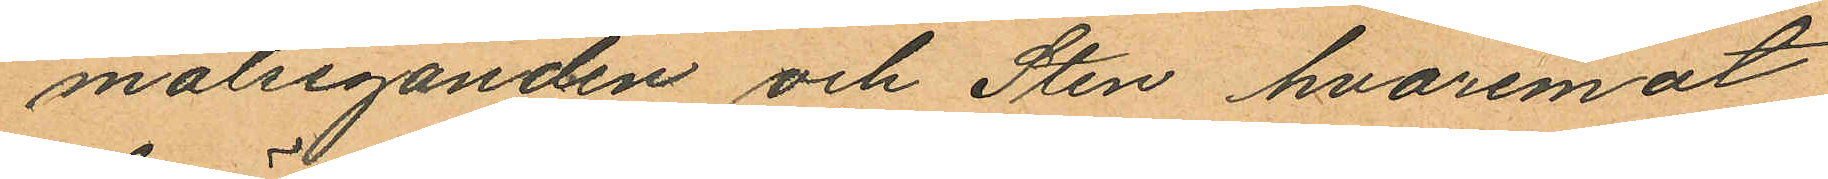målseganden och Sten hvaremot
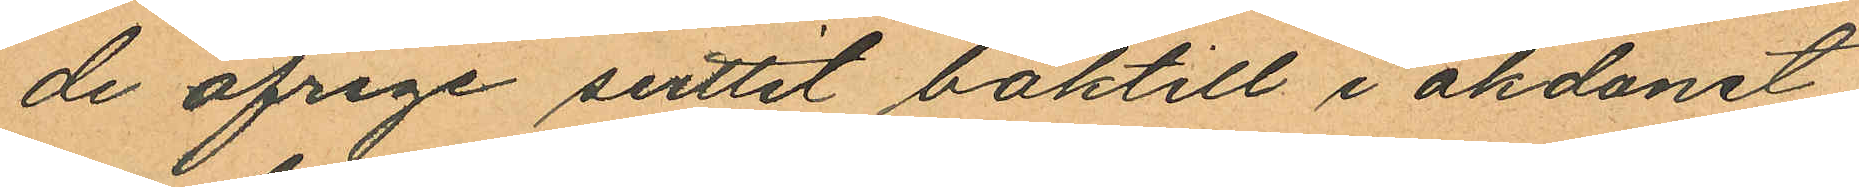de öfrige suttit baktill i åkdonet,
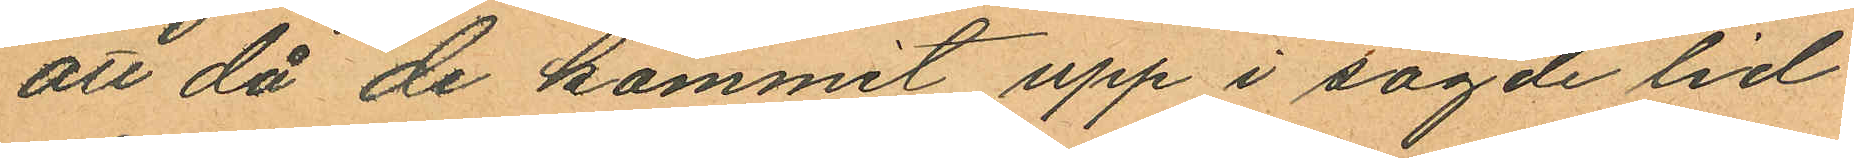att då de kommit upp i sagde lid
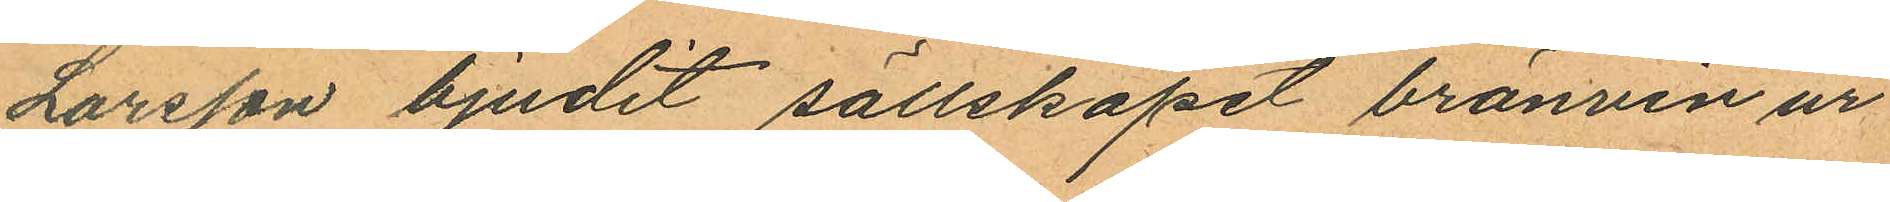Larsson bjudit sällskapet bränvin ur
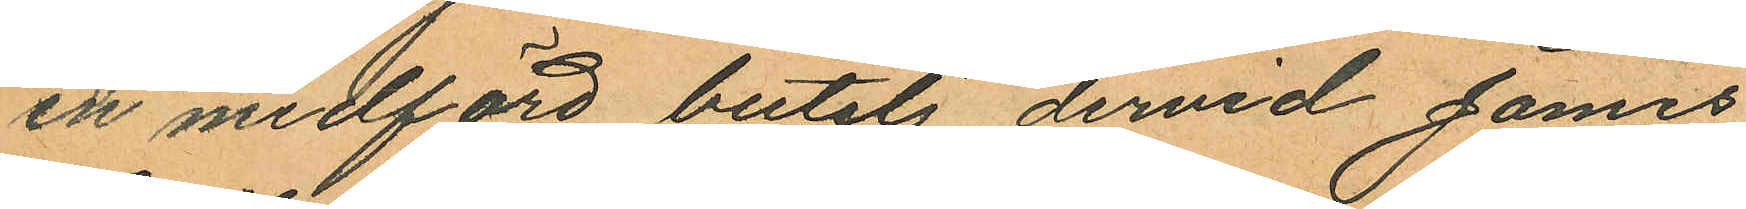en medlförd butelj dervid James
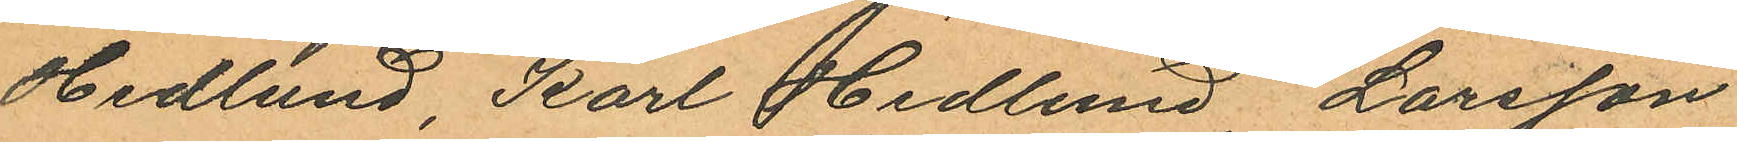Hedlund, Karl Hedlund Larsson
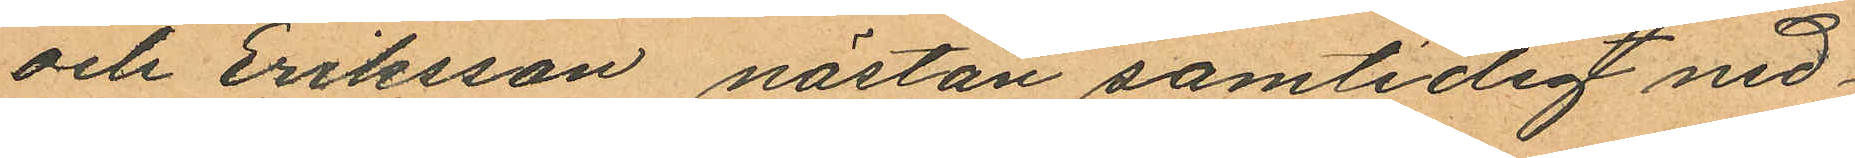och Eriksson nästan samtidigt ned¬
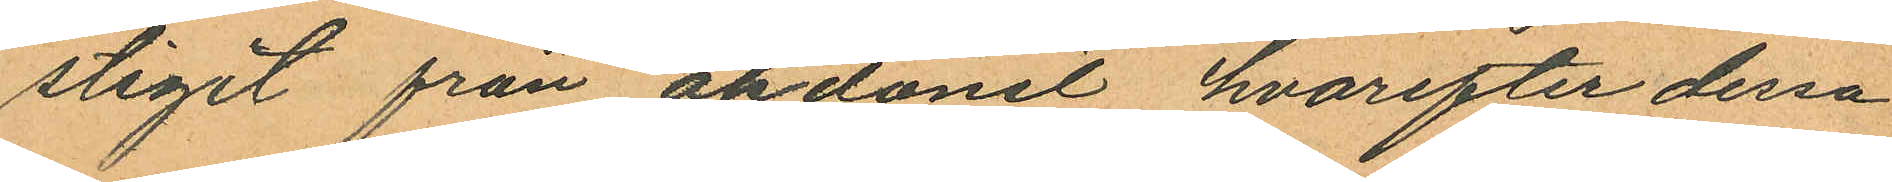stigit från åkdonet hvarefter dessa
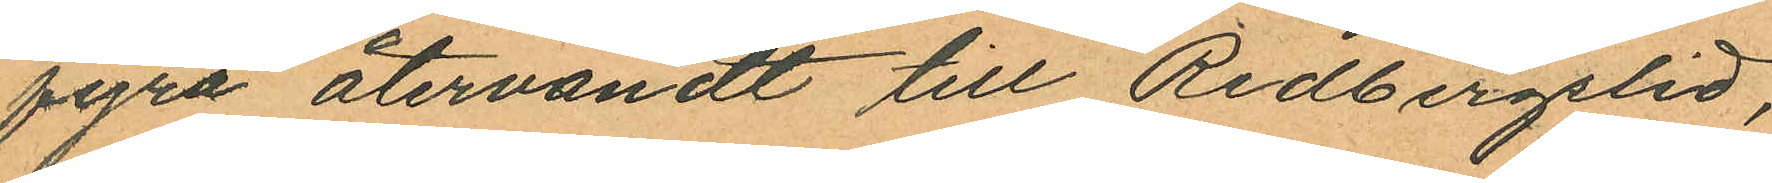fyra återvändt till Redbergslid,
